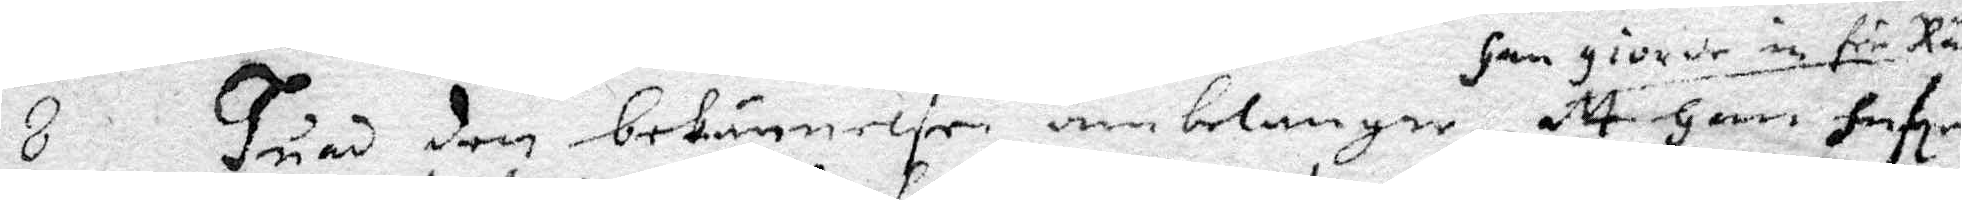8 Huad den bekännelse anbelangar, Han giorde inför Rätten att Han hafe
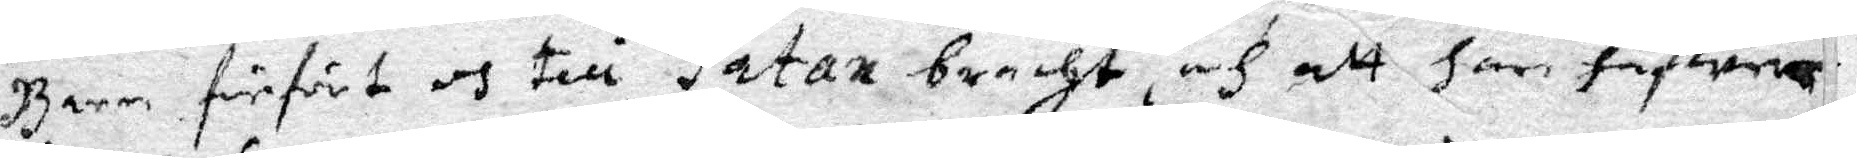Barn förfört och till Satan bracht, och att Han hafwer
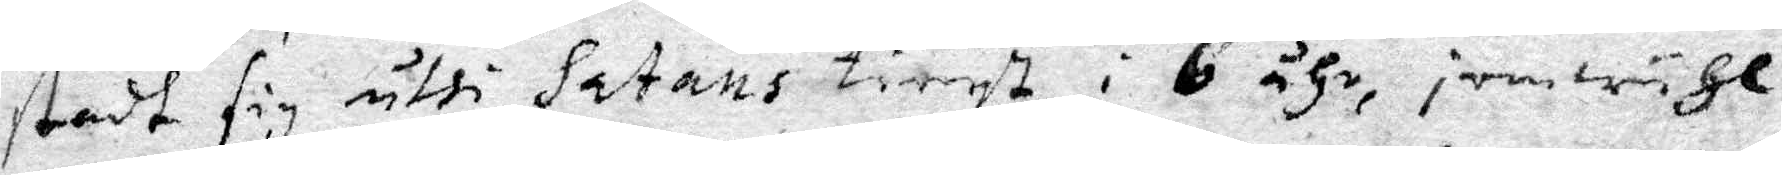stadt sig uthi Satans tienst i 6 åhr, jemwähl
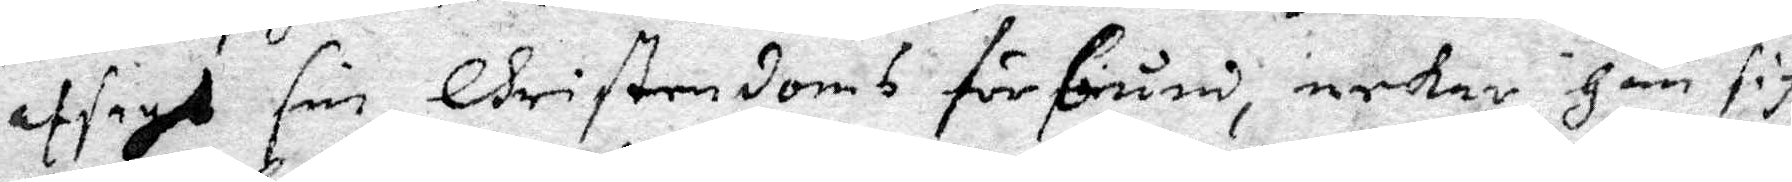afsagt sin Christendoms förbund, nekar Han sig
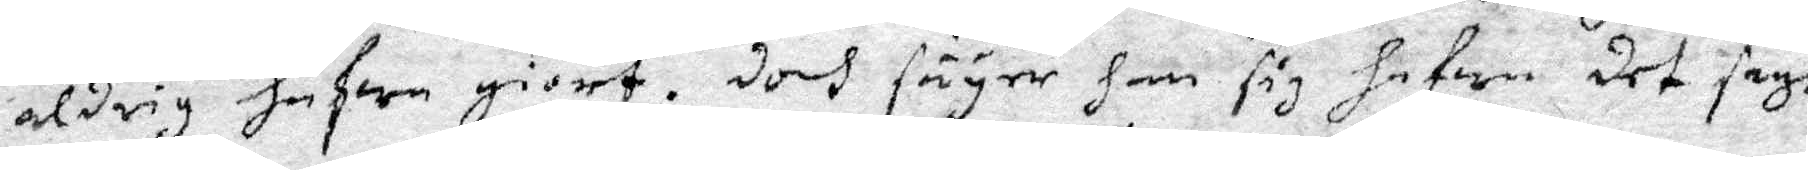aldrig hafwa giort: Doch säyer han sig hafwa det sagt
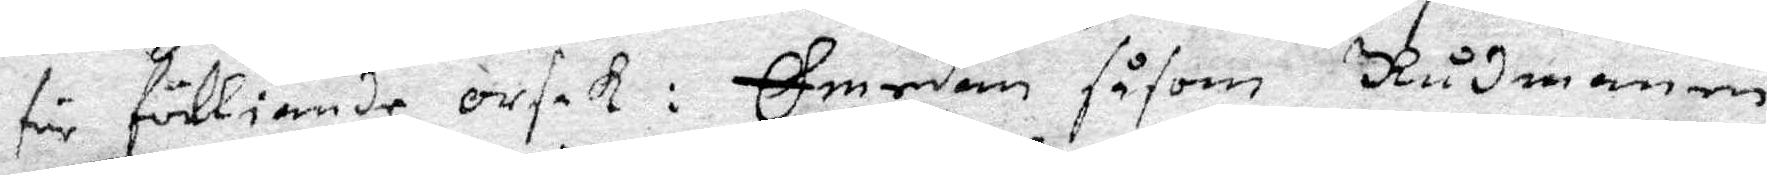för fölliande orsak: Emedan såsom Rådmannen
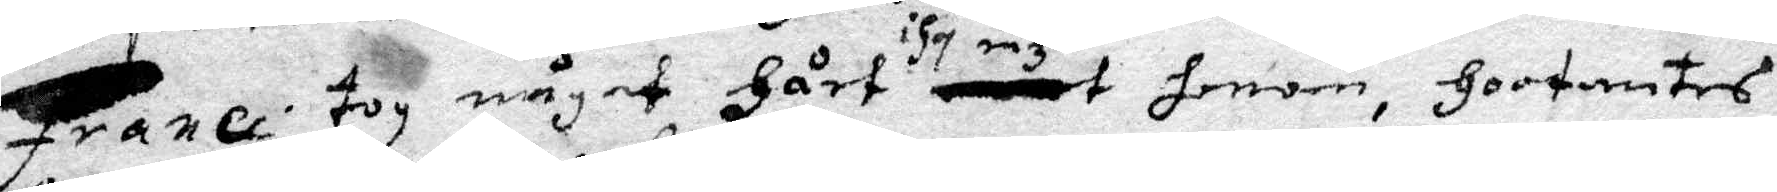Franci tog något Hårt i hosenz honom, Hootandes
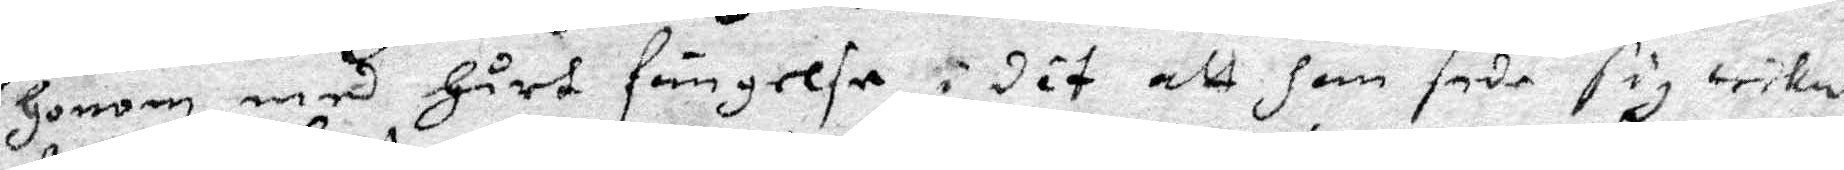Honom med Hårt fängelse, i det att Han sade sig wika
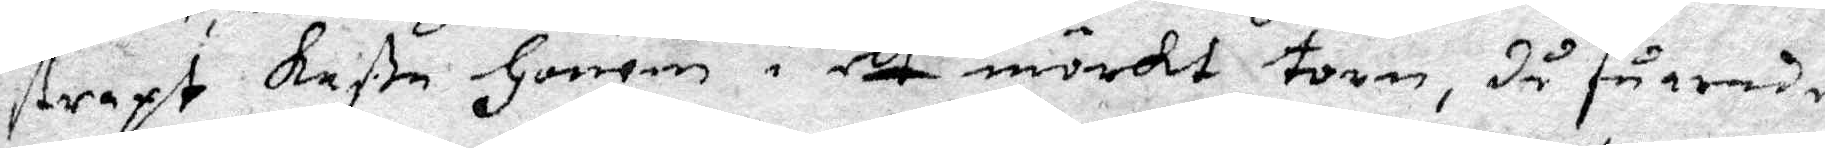straxt kaßa Honom i ett mörkt torn, då säande
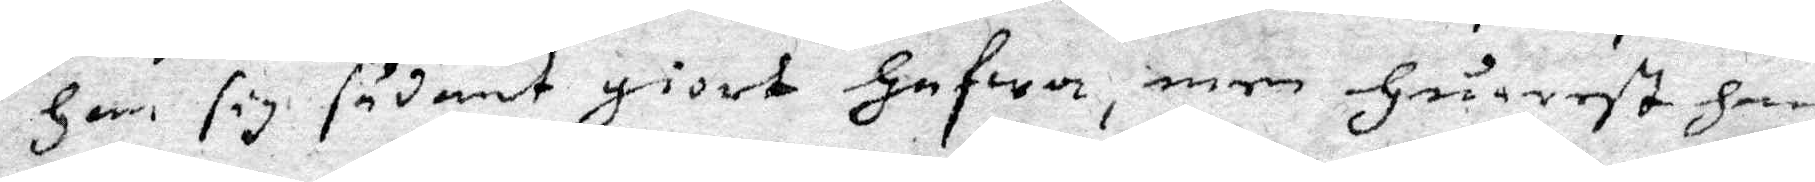Han sig sådant giort Hafwa, men Huarest Han
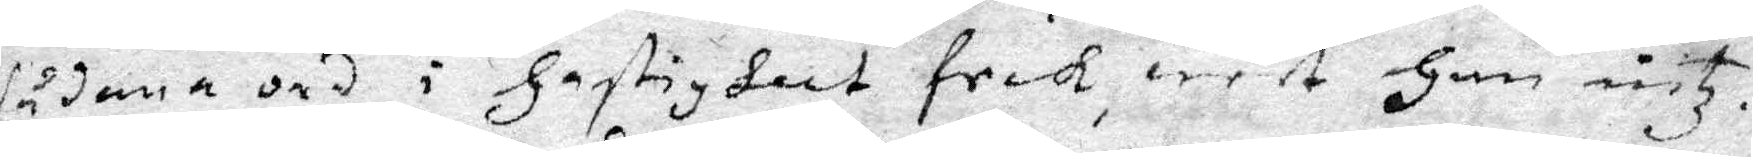sådana ord i Gastighet feck, weet Han intz.
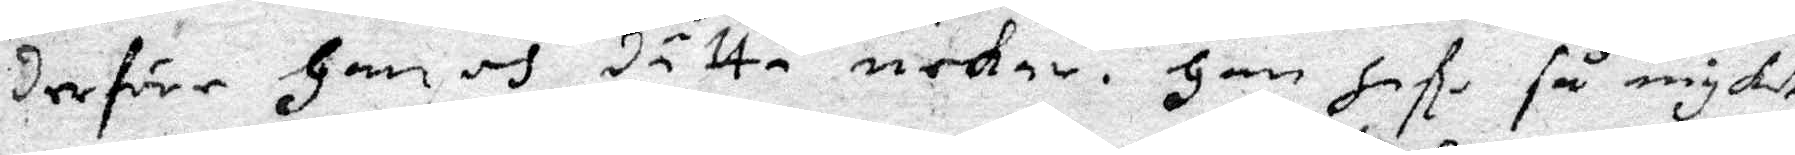Derföre Han och dätta nekar. Han hafe så myket
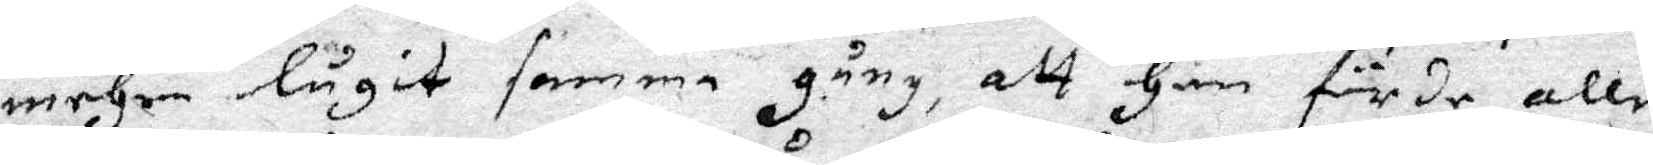mehra lugit samma gång, att Han förde alle
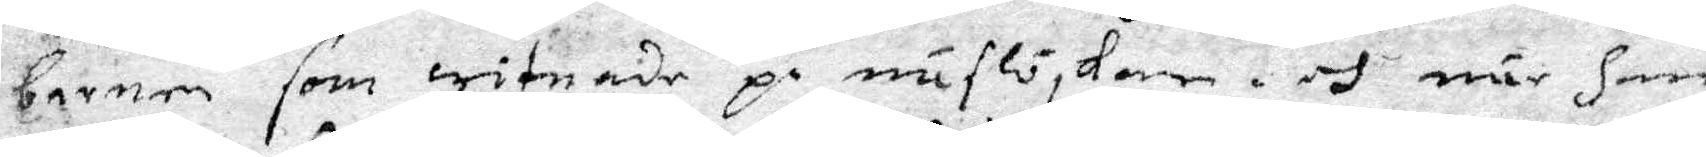barnen som witnade på näslöskan och när han
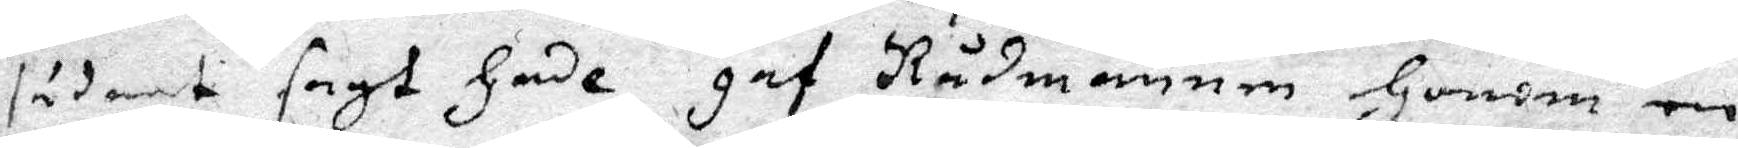sådant sagt Hade, gaf Rådmannen Honom en
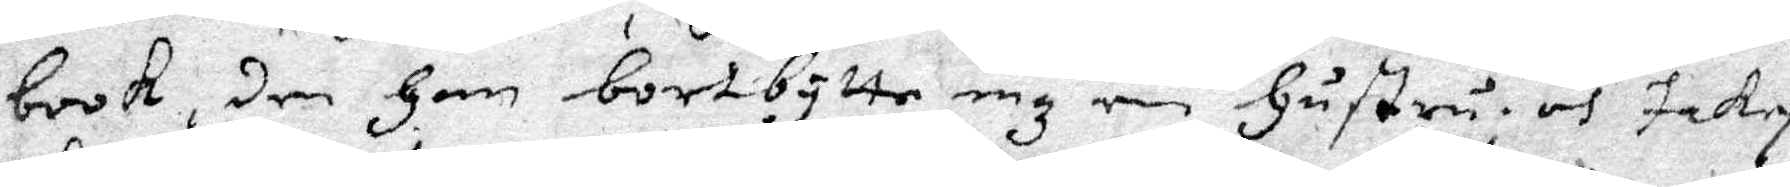book, den Han bortbytte enz en Hustru; och Jakop
